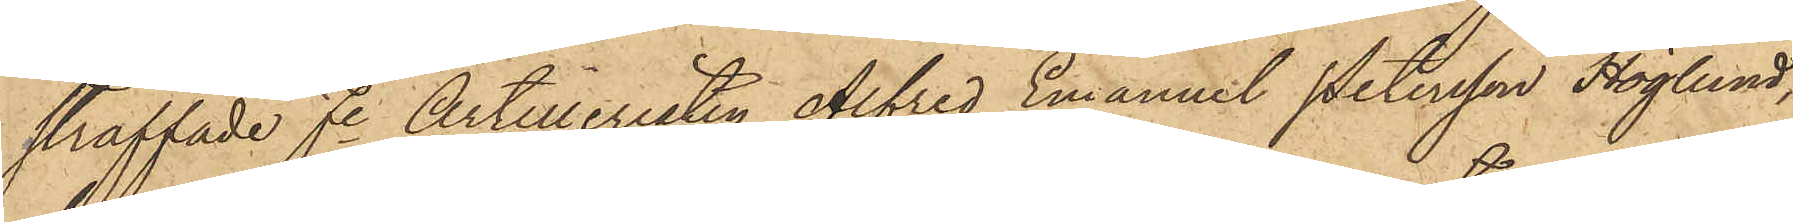straffade fre Artilleristen Alfred Emanuel Petersson Höglund,
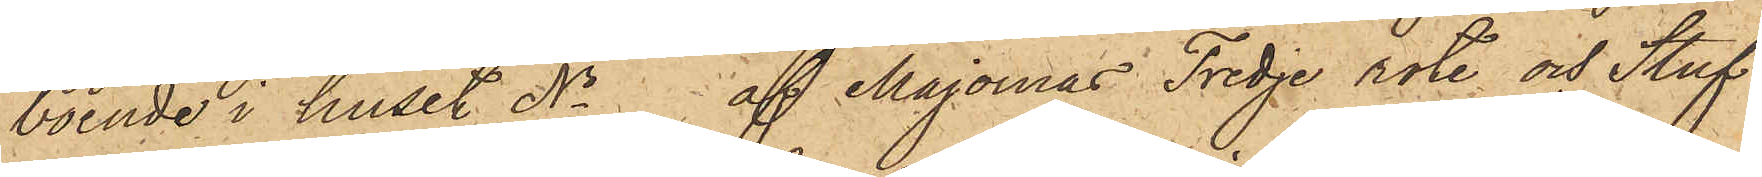boende i huset No   af Majornas Tredje rote och Stuf¬
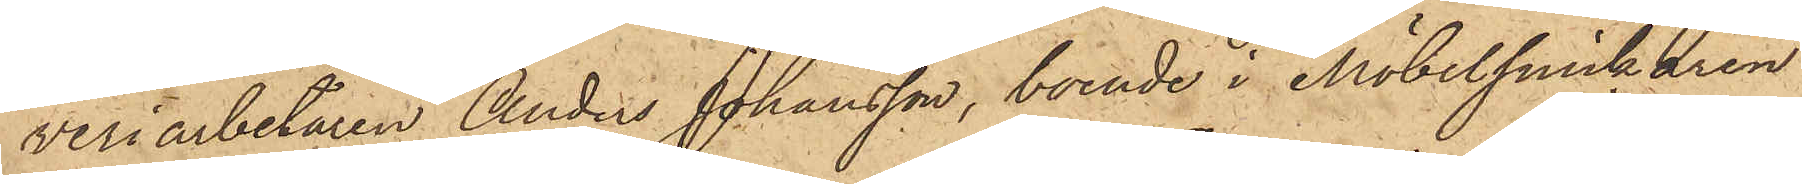veriarbetaren Anders Johansson, boende i Möbelsnickaren
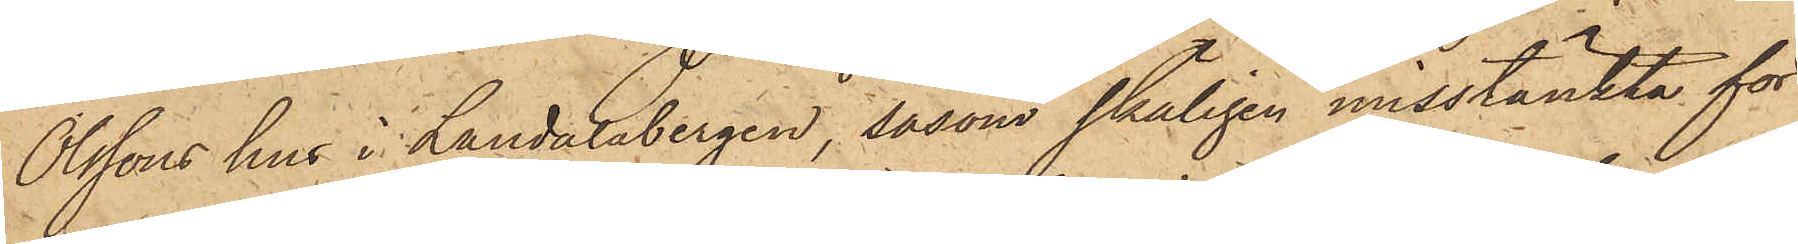Olssons hus i Landalabergen, såsom skäligen misstänkta för
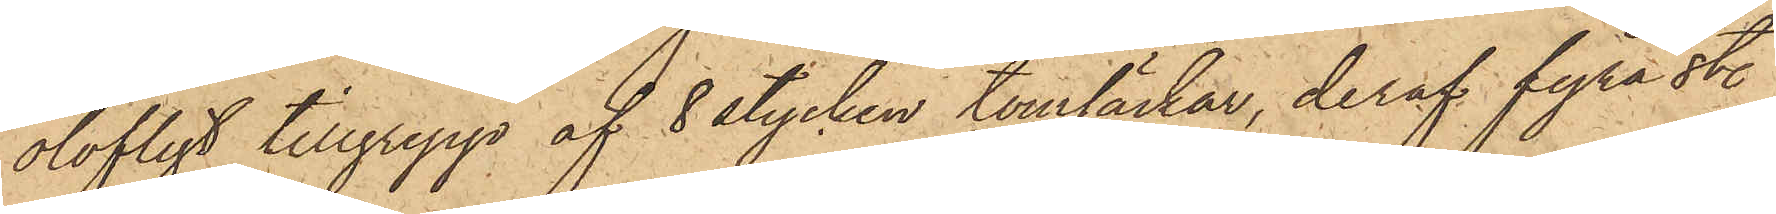olofligt tillgrepp af 8 stycken tomsäckar, deraf fyra sty.
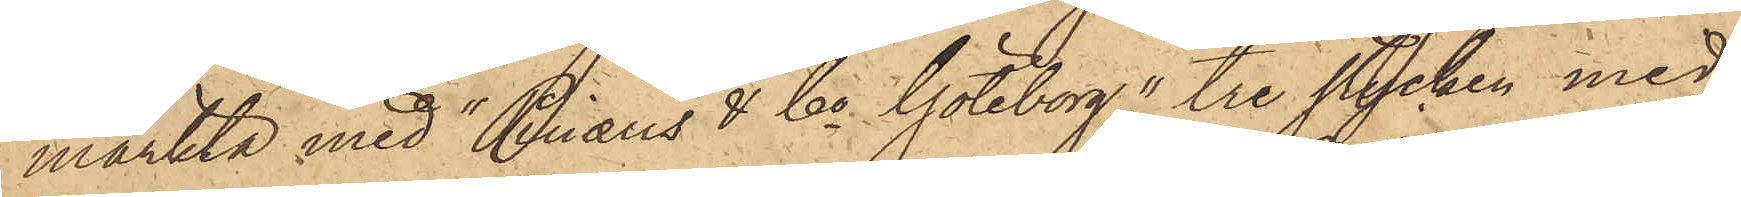märkta med "Pinæus & Co Göteborg",  tre stycken med
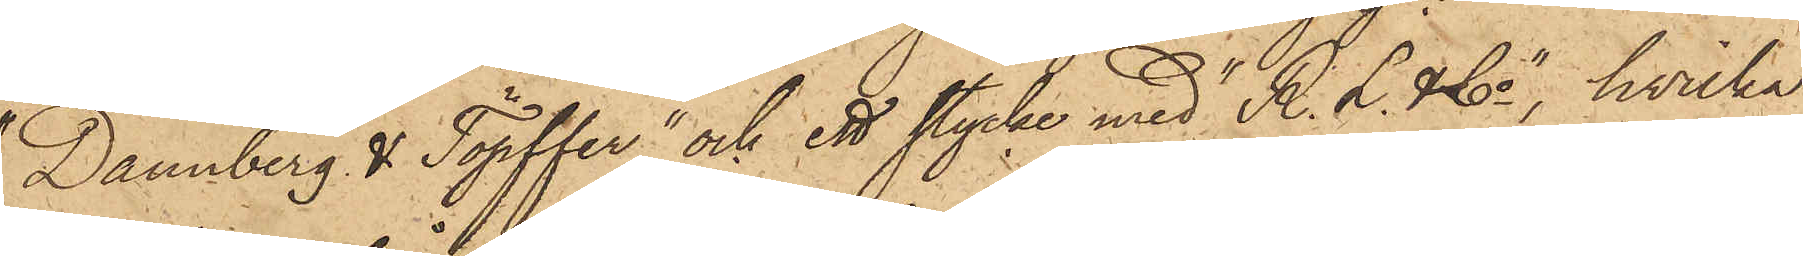"Dannberg & Töpffer" och ett stycke med "R. L. & Co", hvilka
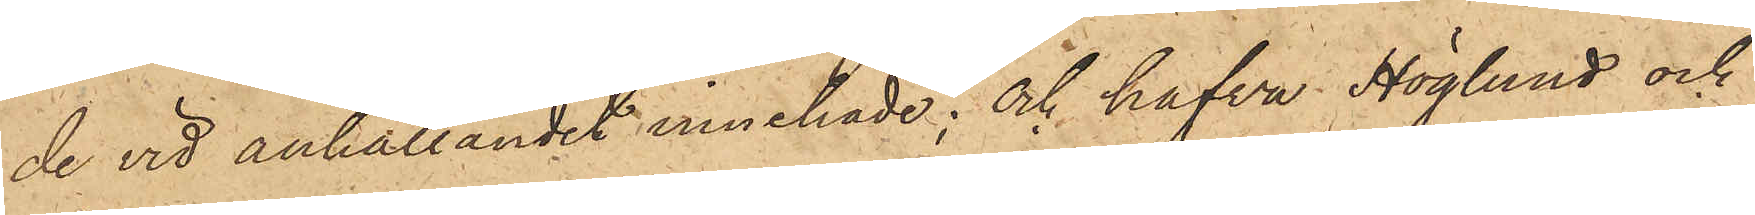de vid anhållandet innehade; och hafva Höglund och
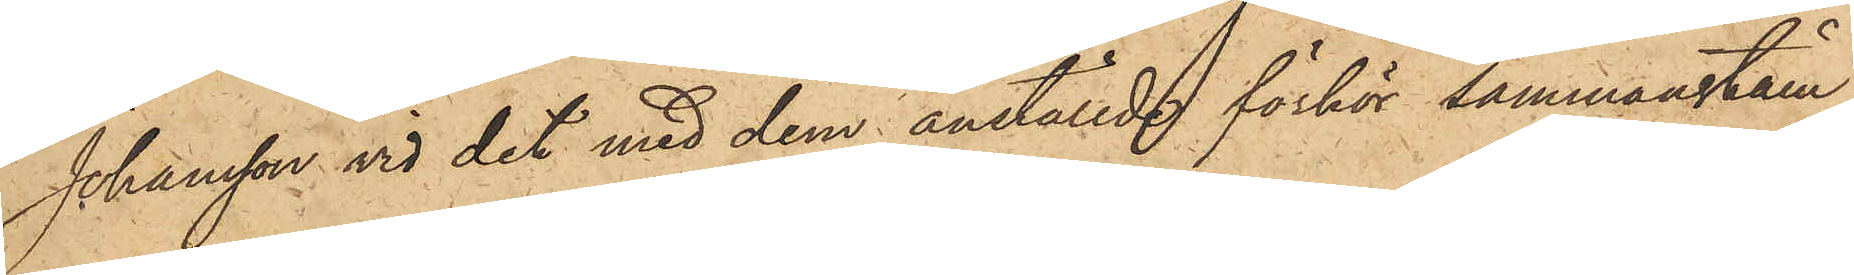Johansson vid det med dem anställde förhör sammanstäm¬
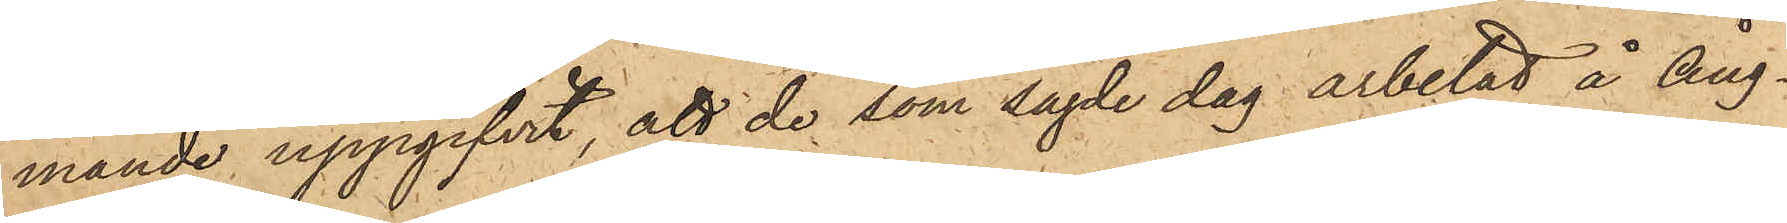mande uppgifvit, att de som sagde dag arbetad å Ång¬
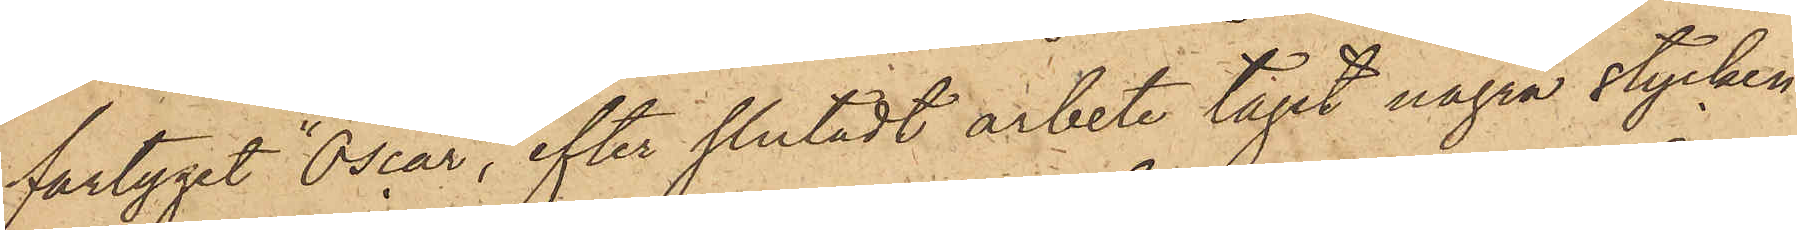fartyget "Oscar", efter slutadt arbete tagit några stycken
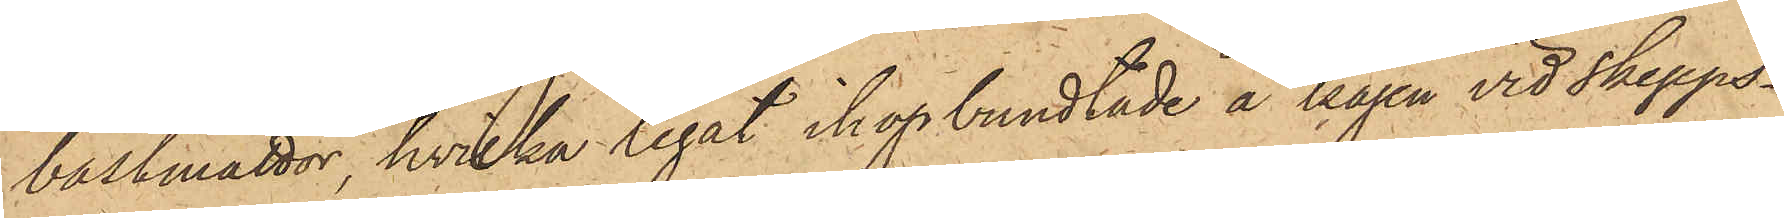bastmattor, hvilka legat ihopbundtade å kajen vid Skepps¬
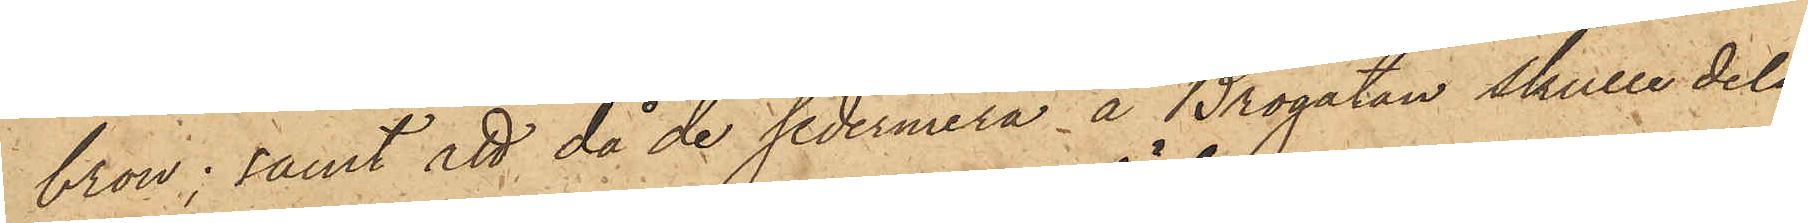bron; samt att då de sedermera å Brogatan skulle dela
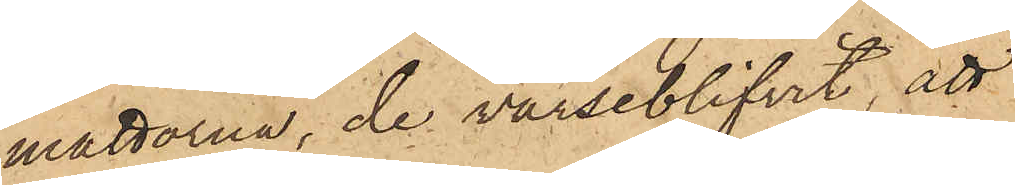mattorna, de varseblifvit, att
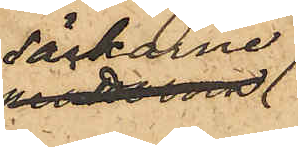säckarna
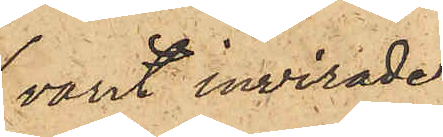varit invirade
